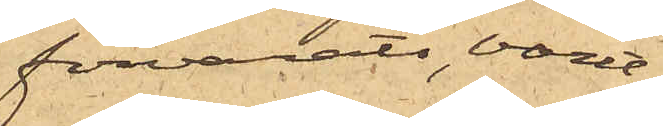förvarats, varit
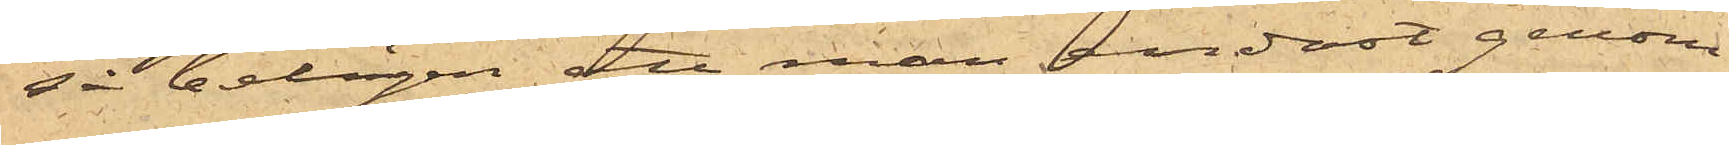så belägen att man endast genom
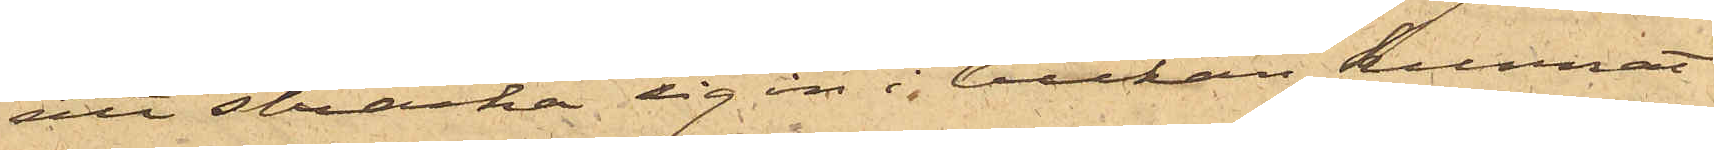att sträcka sig in i luckan kunnat
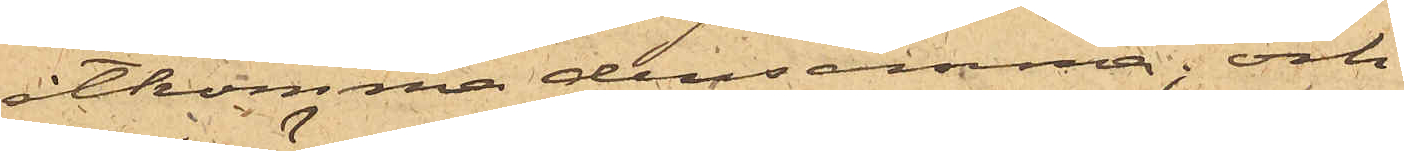åtkomma densamma; och
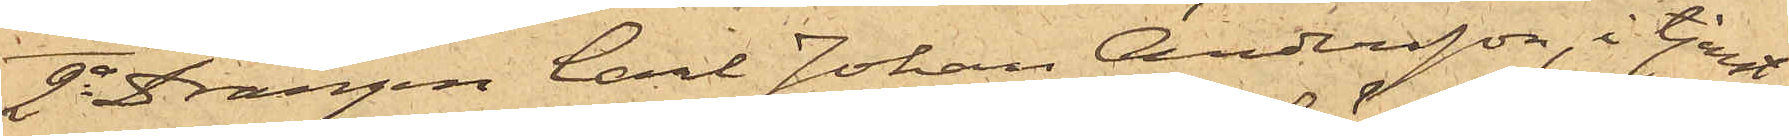2o Drängen Carl Johan Andersson, i tjenst
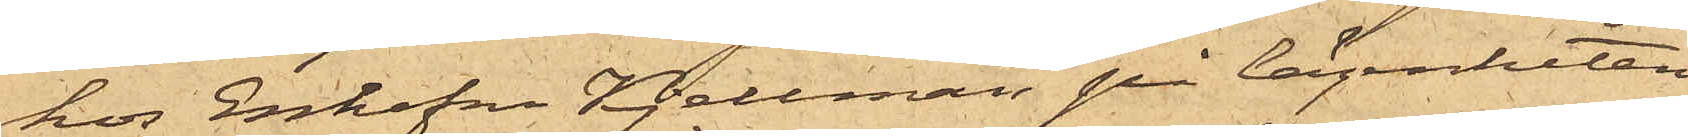hos Enkefru Kjellman på lägenheten
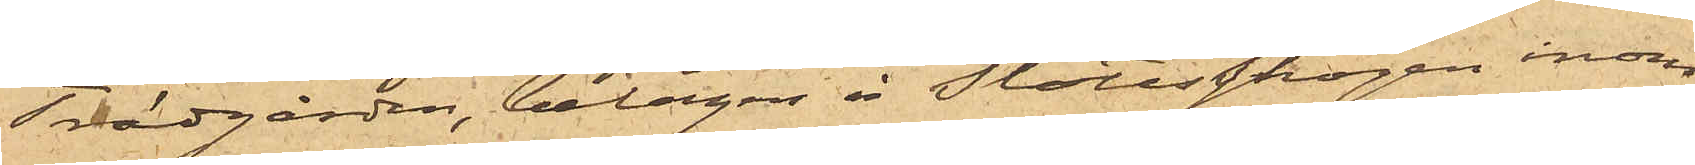Trädgården, belägen å Slottsskogen inom
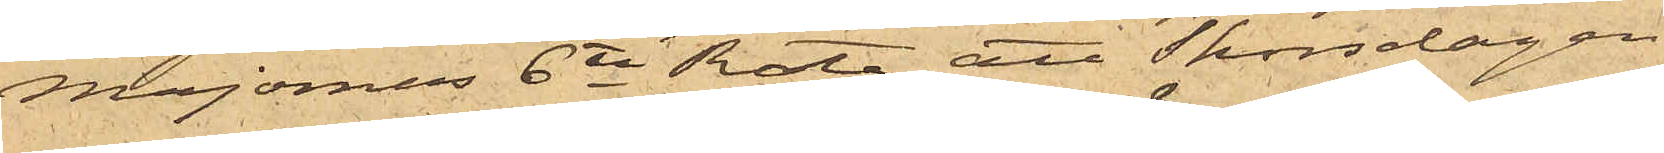Majornas 6te Rote, att Thorsdagen
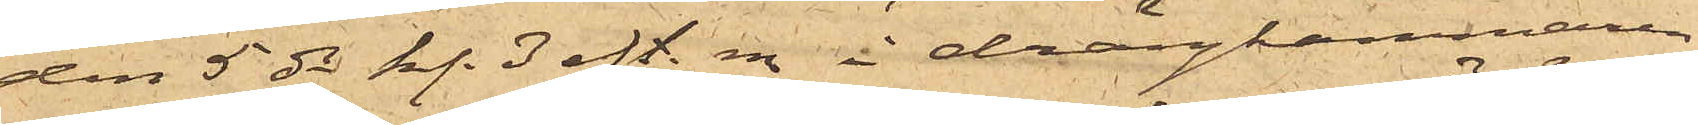den 5 ds kl. 3 eft. m. i drängkammaren
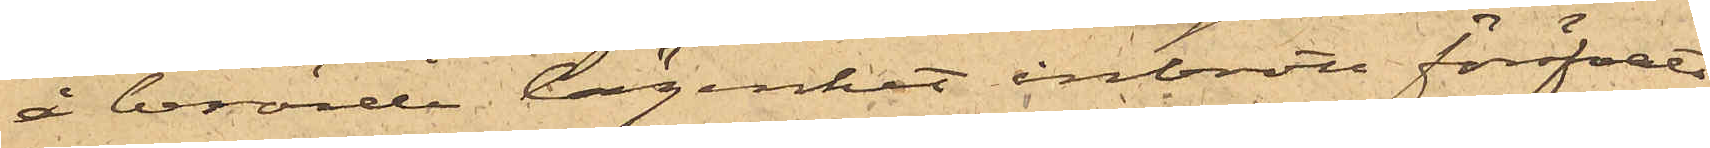å berörde lägenhet inbrott föröfvats
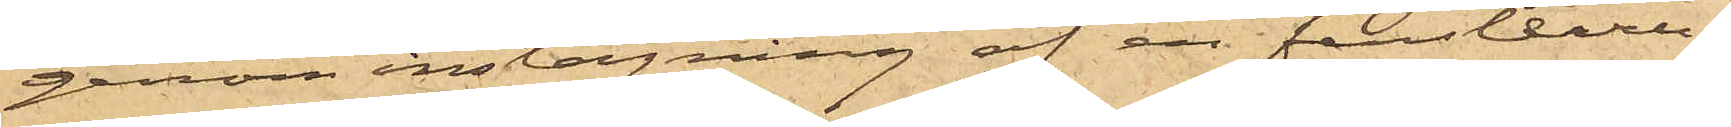genom inslagning af en fensterru¬
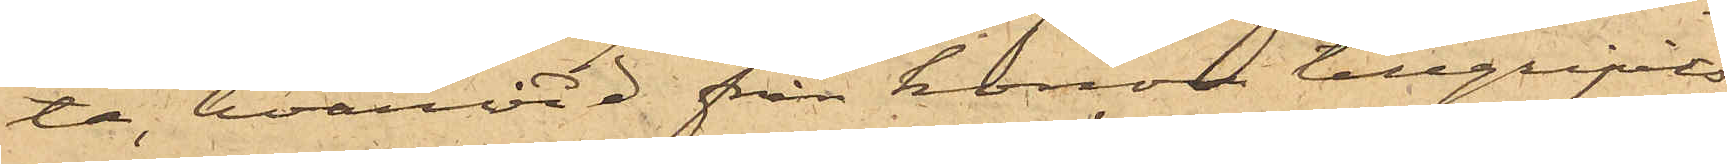ta, hvarvid från honom tillgripits
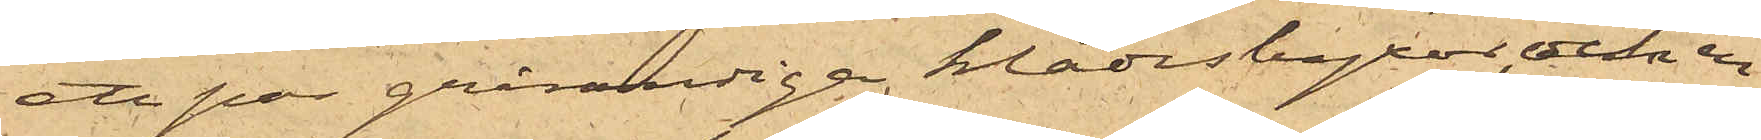ett par grårandiga klädesbyxor, och en
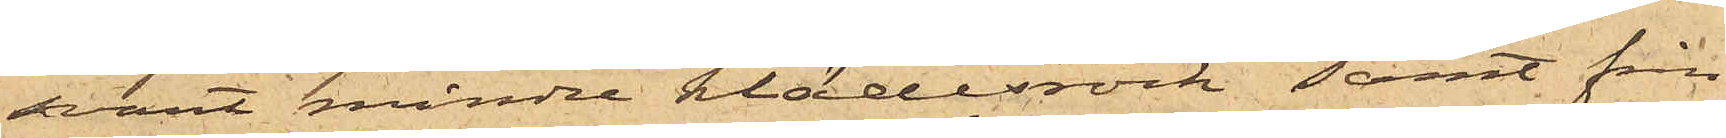svart mindre klädesrock samt från
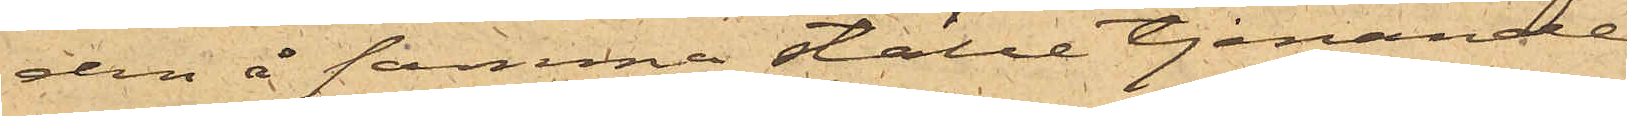den å samma ställe tjenande
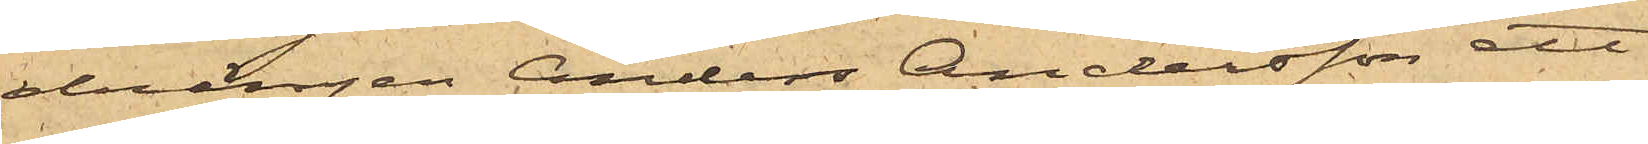drängen Anders Andersson ett
